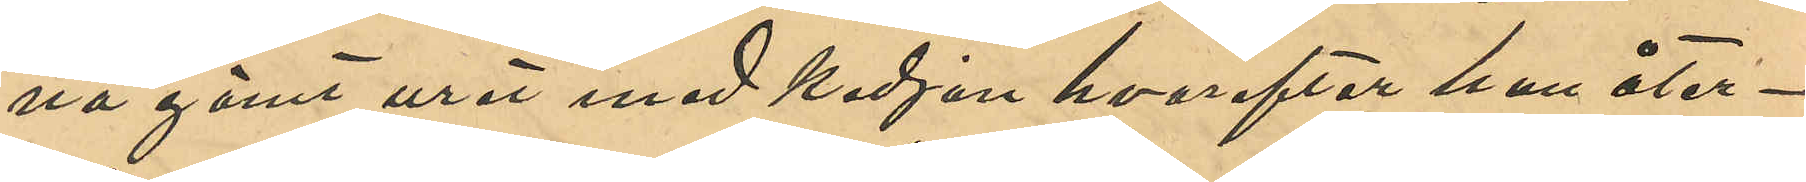na gömt uret med kedjan hvarefter han åter¬
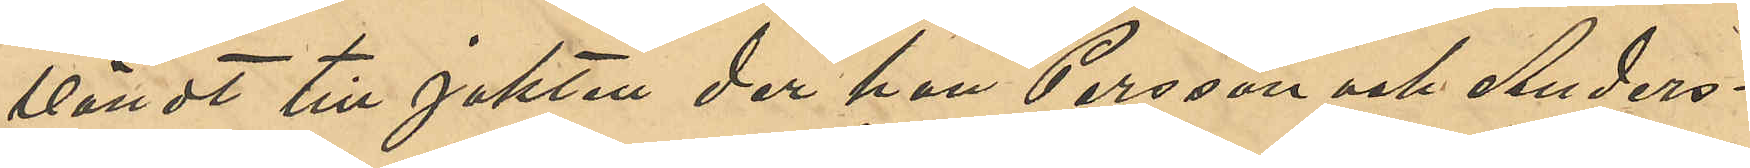vändt till jakten der han Persson och Anders¬
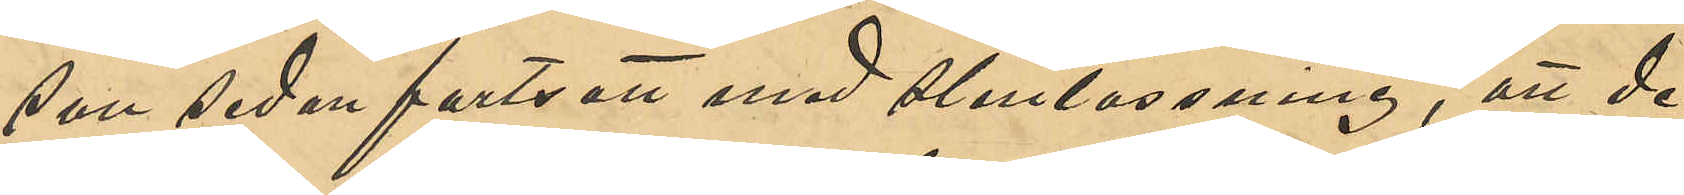son sedan fortsatt med stenlossning, att de
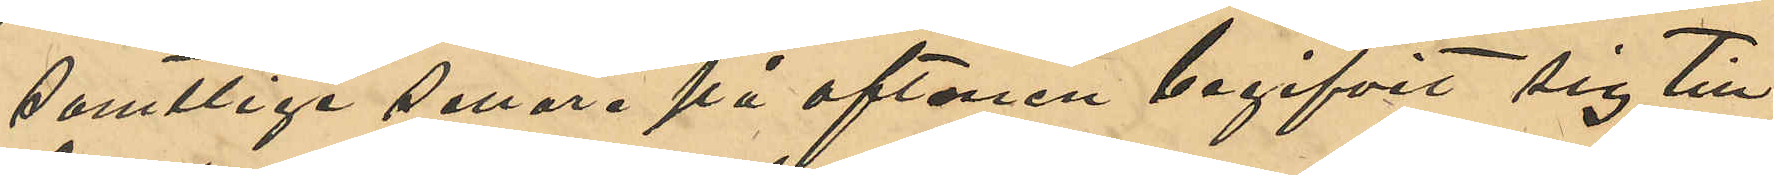samtliga senare på aftonen begifvit sig till
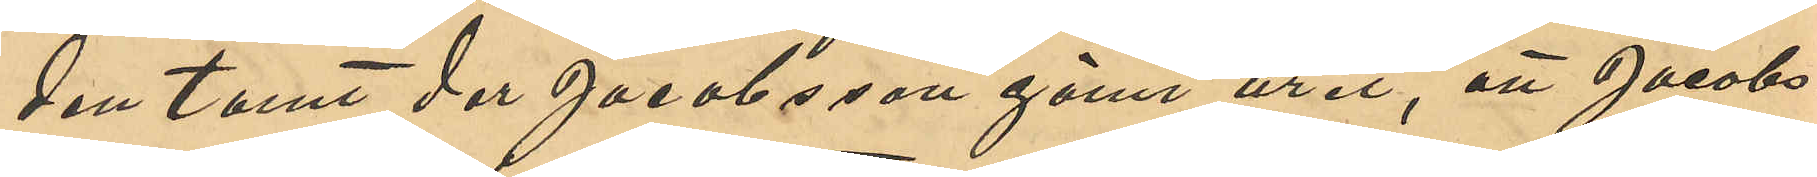den tomt der Jacobsson gömt uret, att Jacobs¬
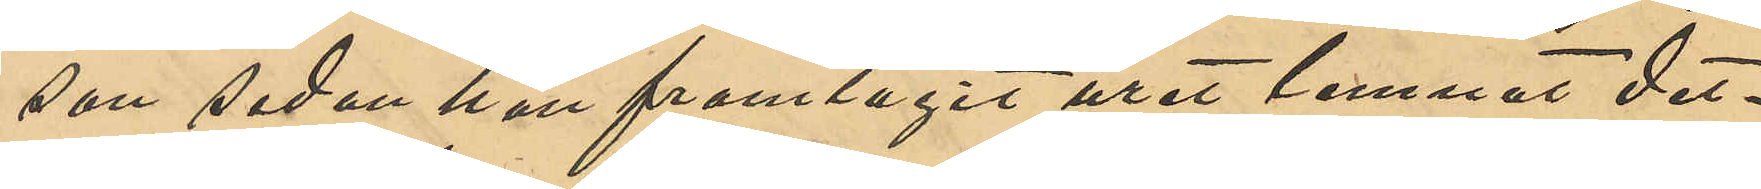son sedan han framtagit uret lemnat det¬
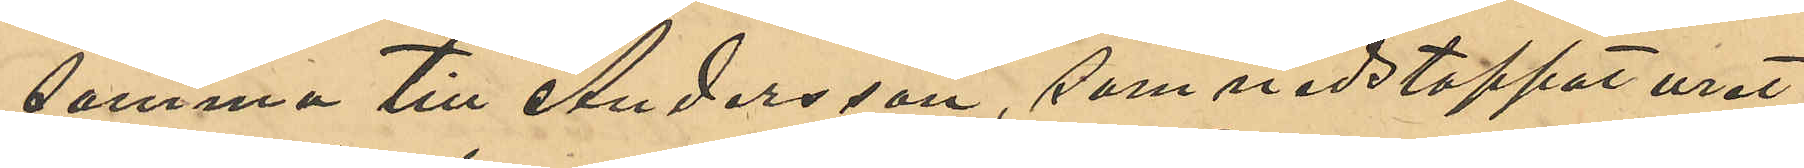samma till Andersson, som nedstoppat uret
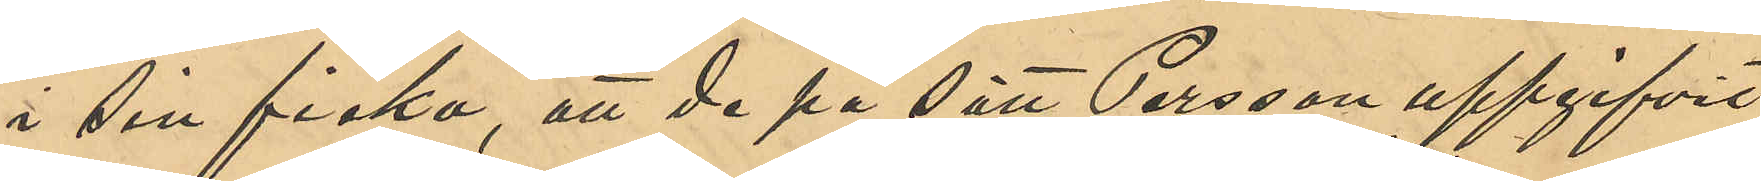i sin ficka; att de på sätt Persson uppgifvit
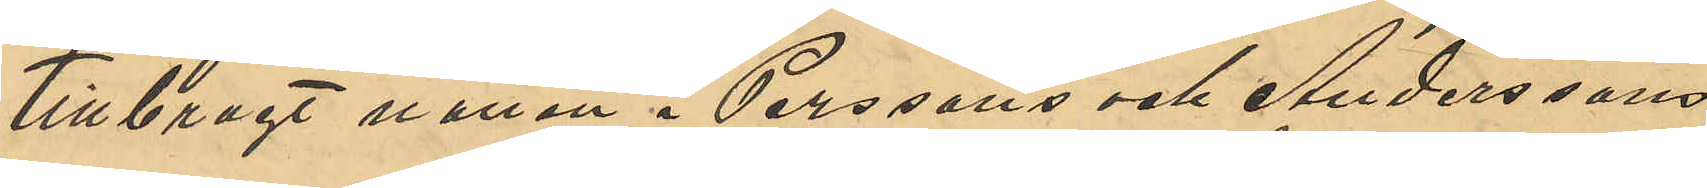tillbragt natten i Perssons och Anderssons
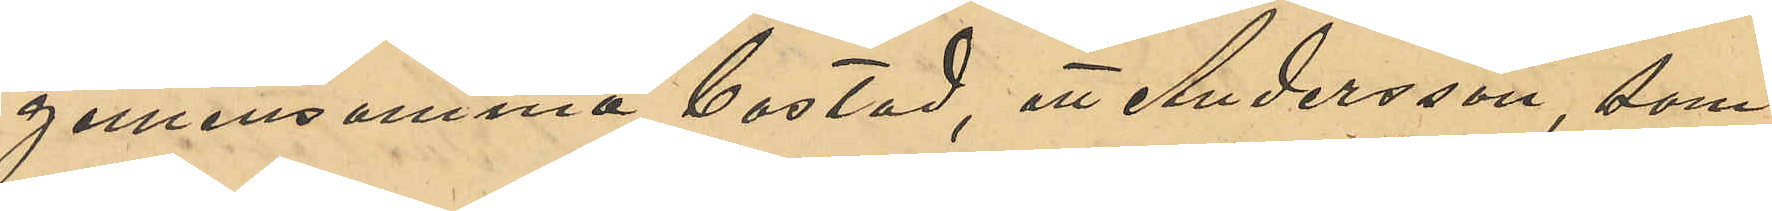gemensamma bostad, att Andersson, som
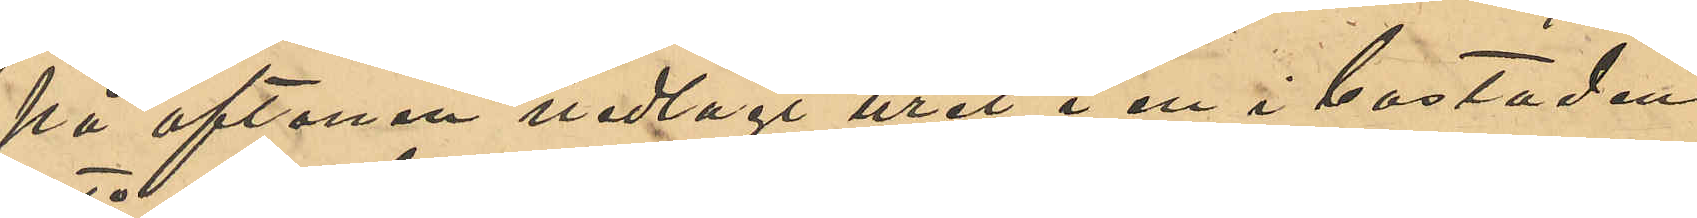på aftonen nedlagt uret i en i bostaden
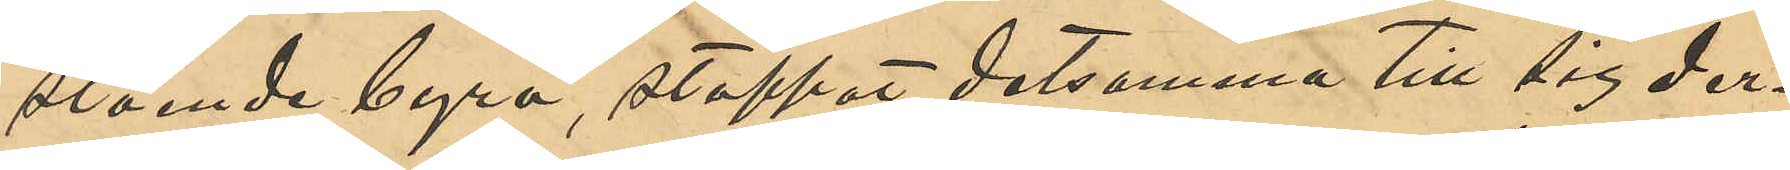stående byrå, stoppat detsamma till sig der¬
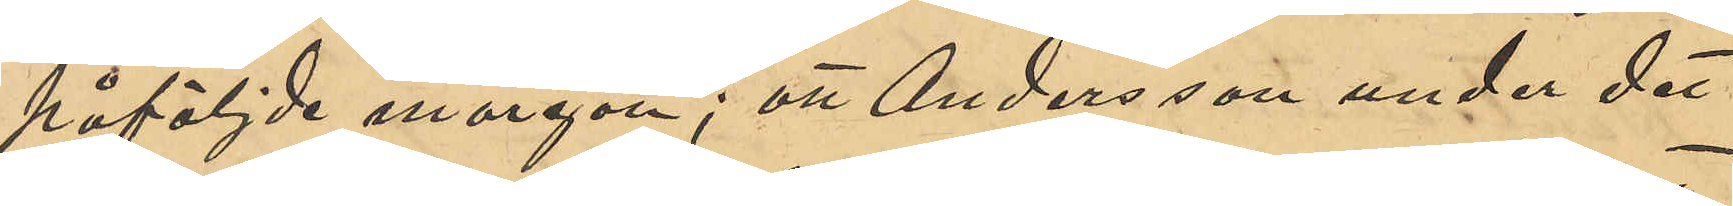påföljde morgon; att Andersson under det
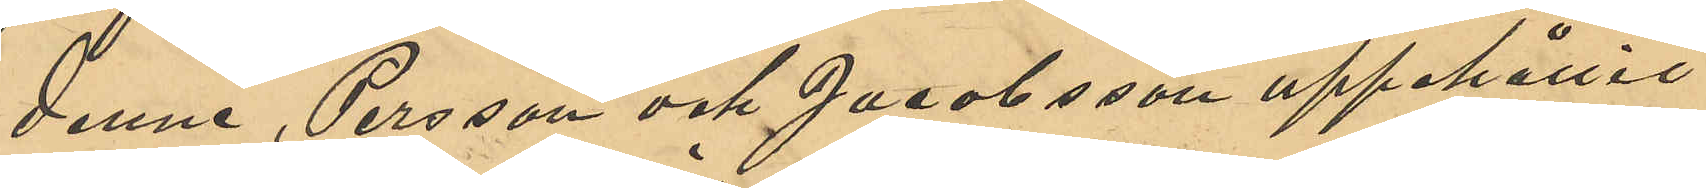denne, Persson och Jacobsson uppehållit
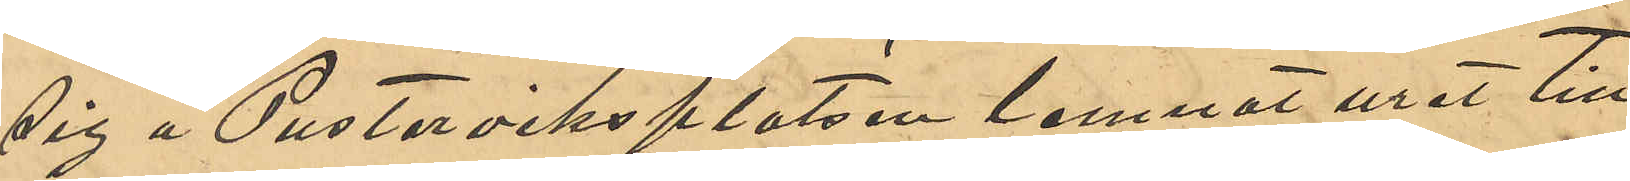sig å Pusterviksplatsen lemnat uret till
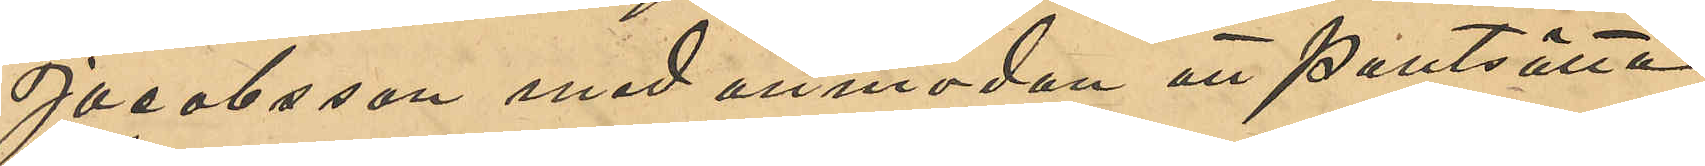Jacobsson med anmodan att pantsätta
